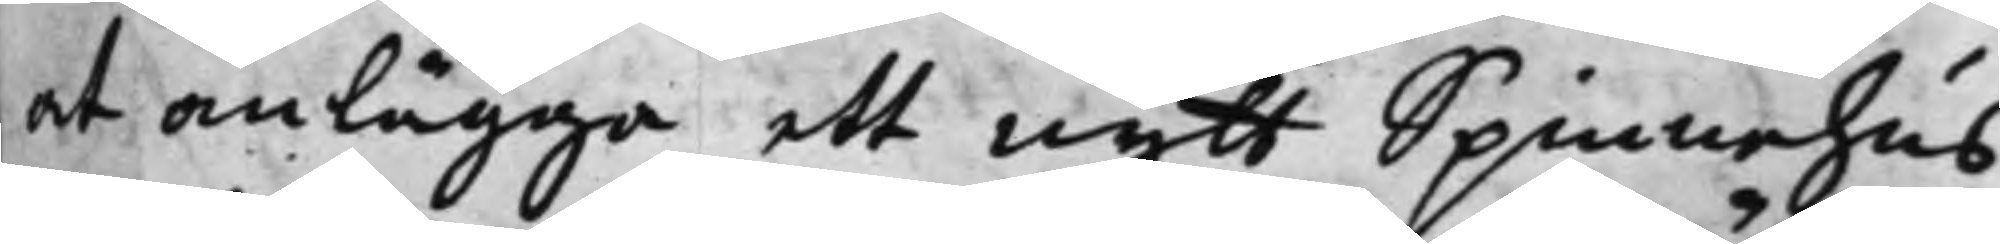at anlägga ett nytt Spinnehus
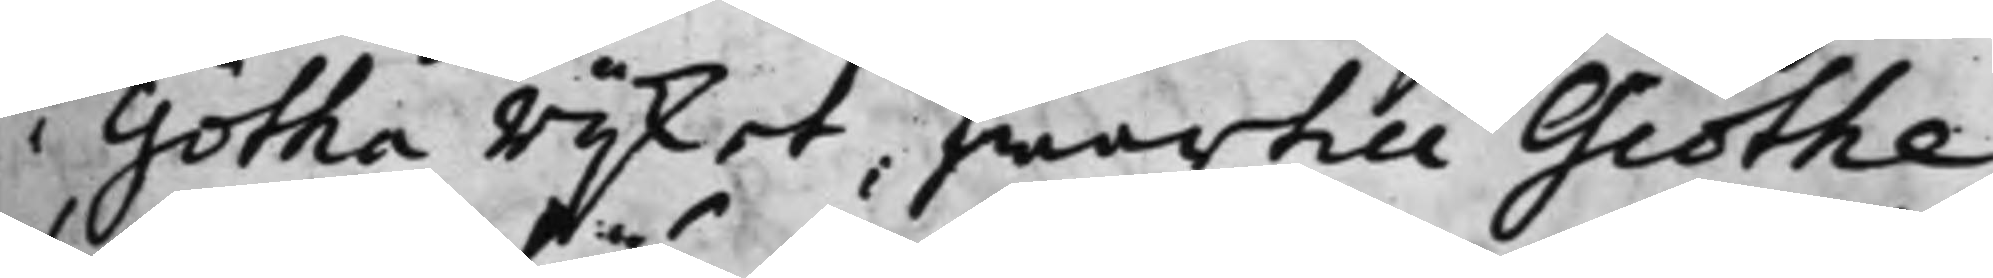i Götha rijket, hwartill Giöthe¬
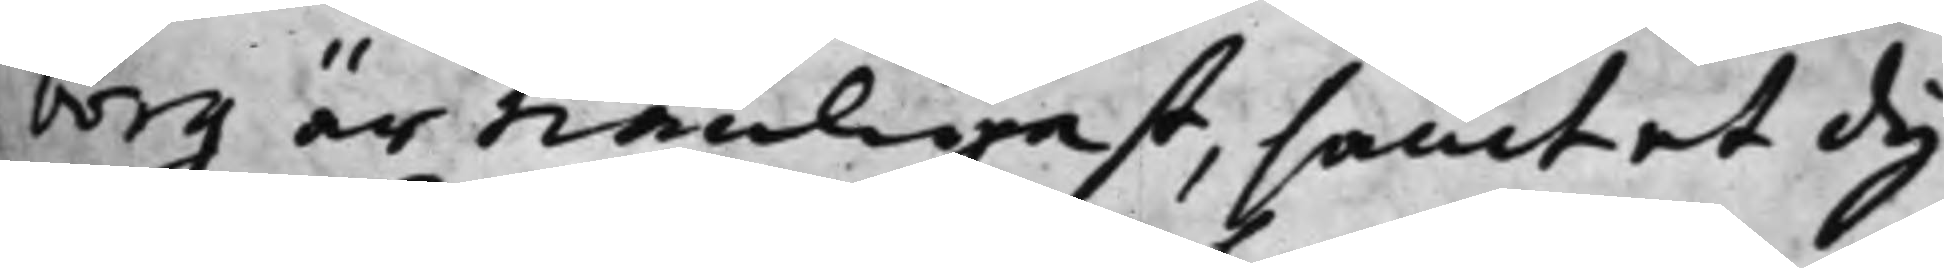borg är tiänligast, samt et dy¬
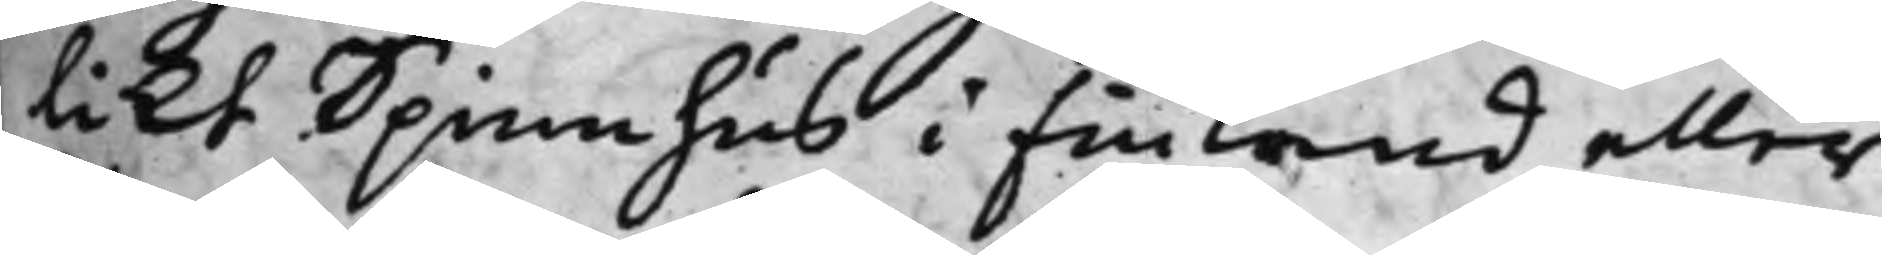likt Spinnhus i Finland eller
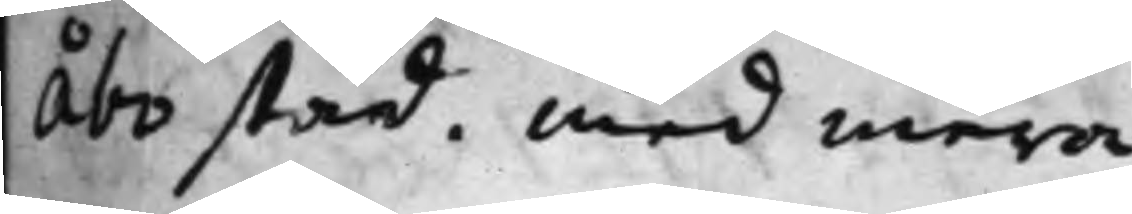Åbo stad. med mera.
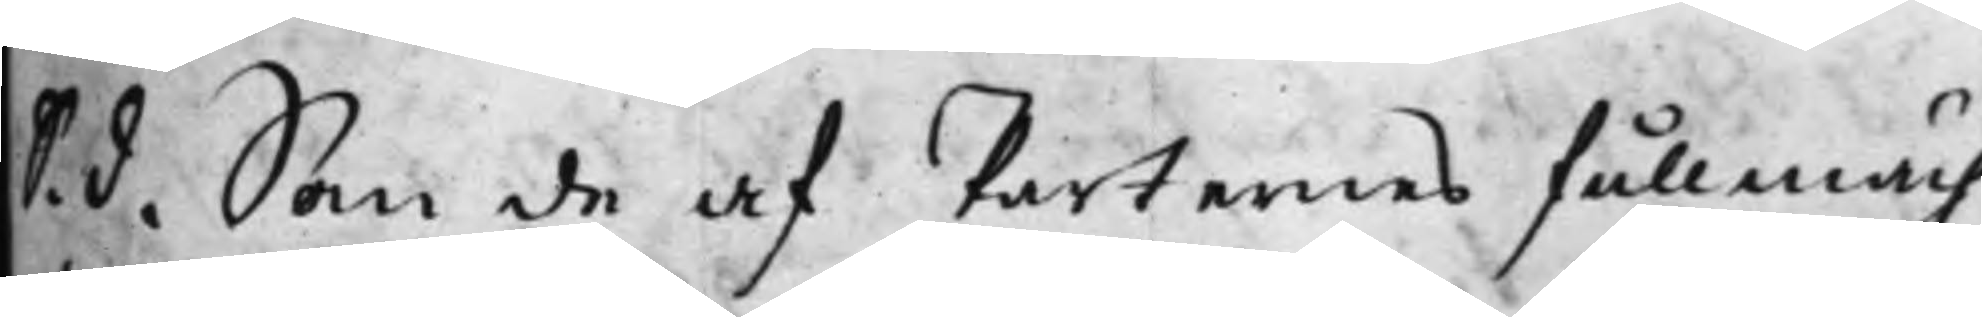S. d. Sen de af Parternes fullmäch¬
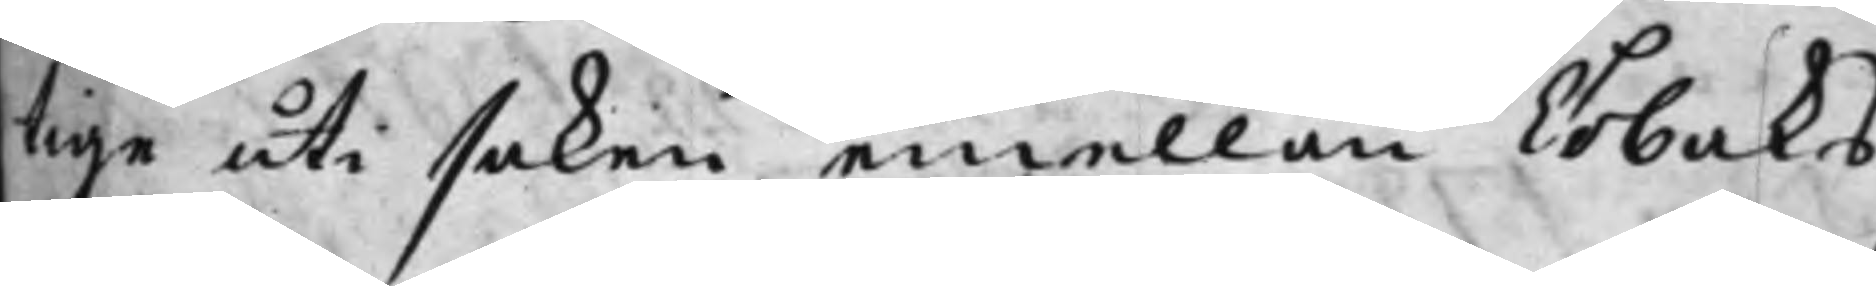tige uti saken emellan Tobaks¬
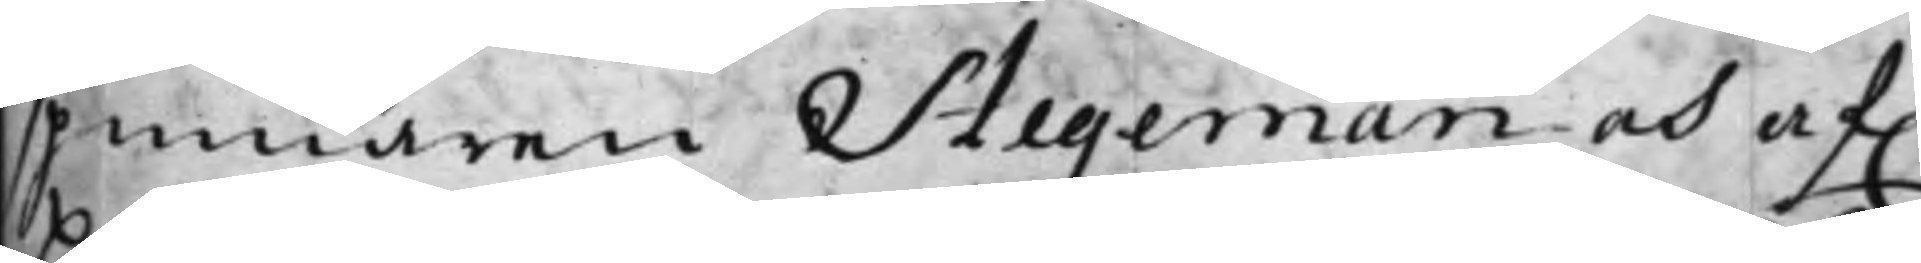spinnaren Stegeman och af.
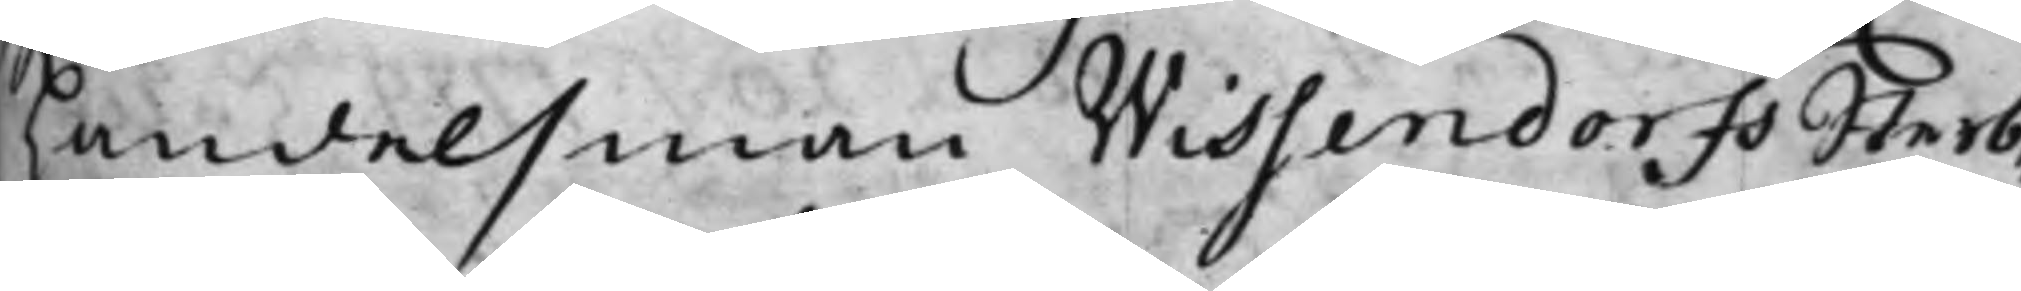handelsman Wissendorfs Sterb¬
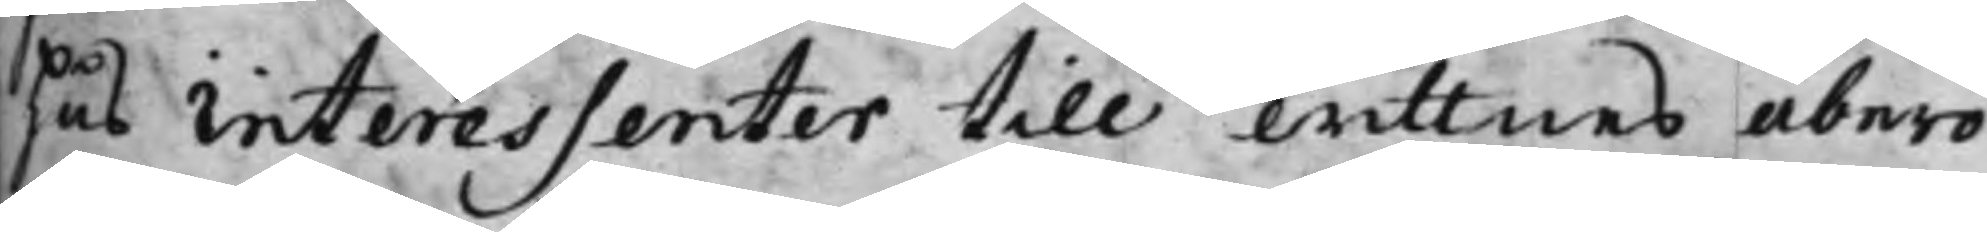hus Interessenter till wittnes åbero¬
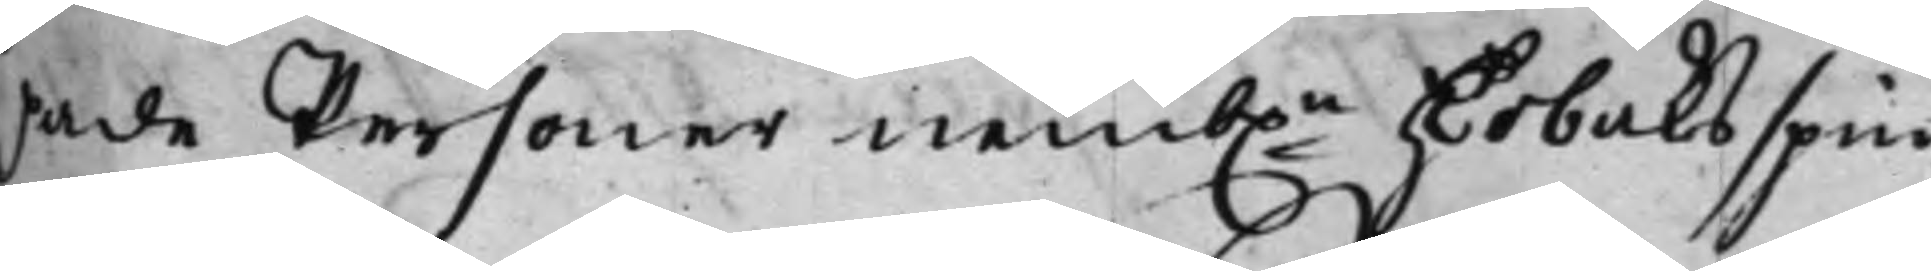pade Personer nemb.n Hr Tobaksspin¬
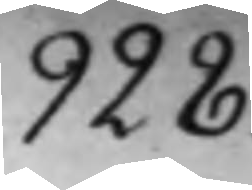928.
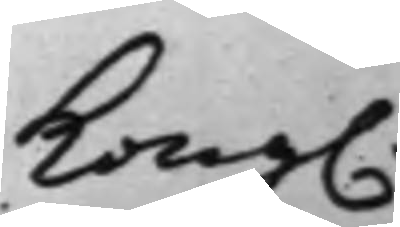Kong.
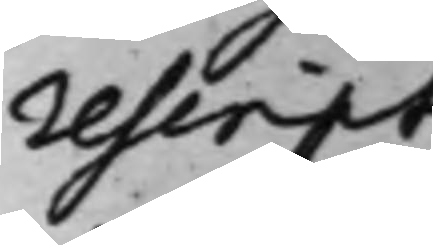rescript
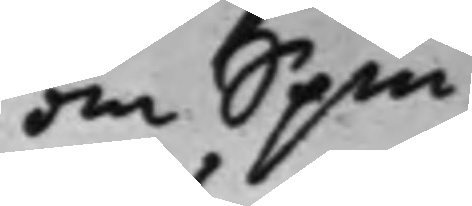om Spin¬
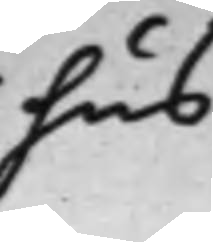hus.
